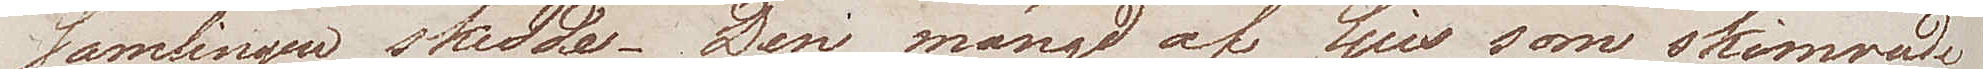samlingen skedde. Den mängd af ljus som skimrade
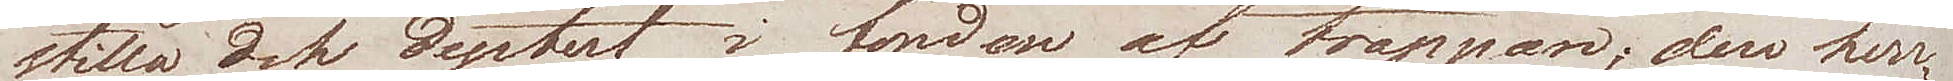stilla och dystert, i fonden af trappan; den herr¬
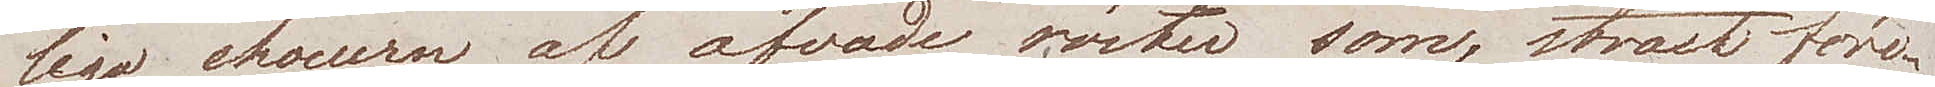liga choeuren af öfvade röster som, straxt före¬
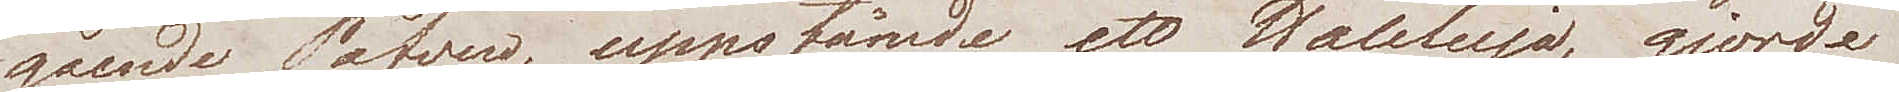gående Påfven, uppstämde ett Haleluja, gjorde
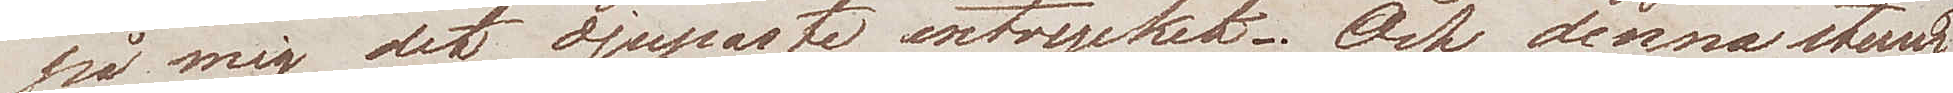på mig det djupaste intrycket. Och denna stund
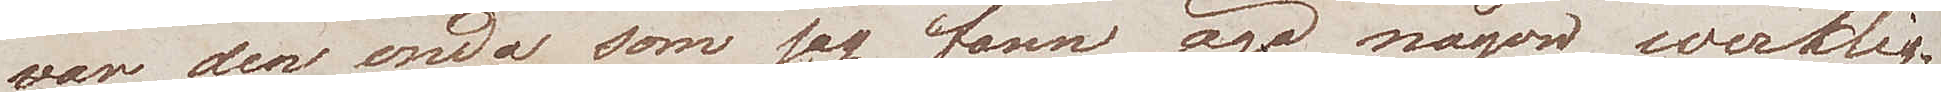var den enda som jag fann äga någon werklig
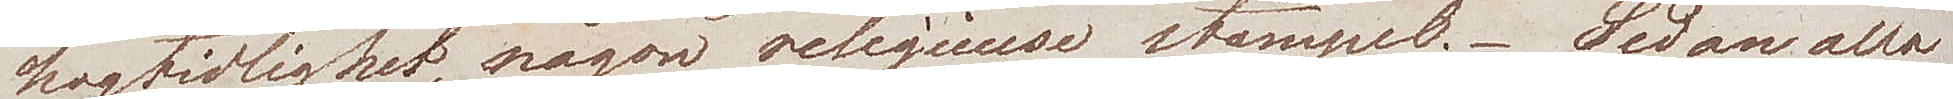högtidlighet, någon religieuse stämpel. Sedan alla
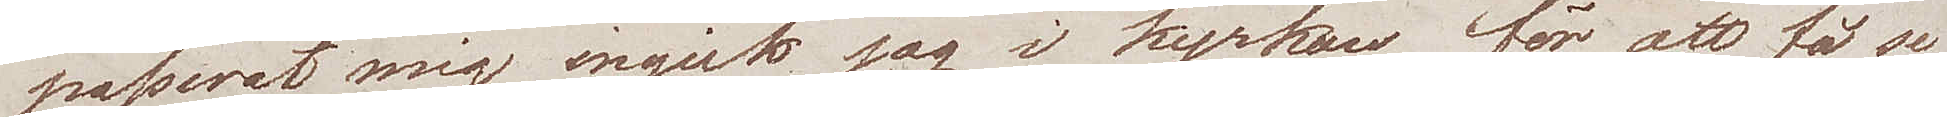passerat mig ingick jag i kyrkan för att få se
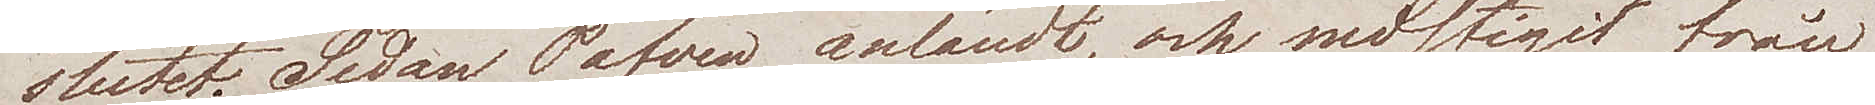slutet. Sedan Påfven anländt, och nedstigit från
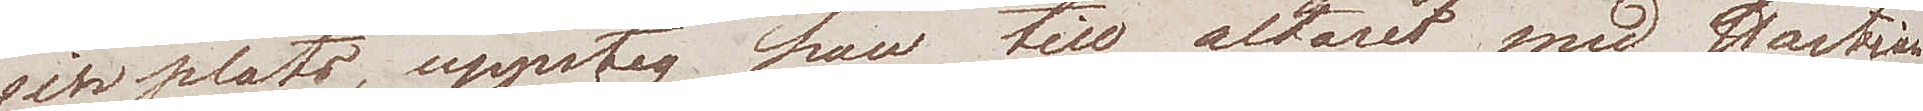sin plats, uppsteg han till altaret med Hostian
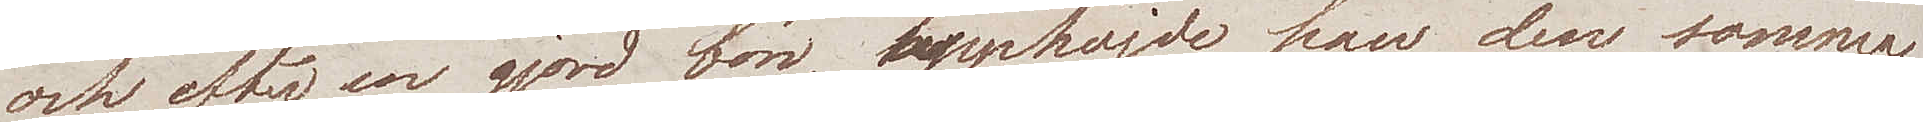och efter en gjord bön, upphöjde han den samma
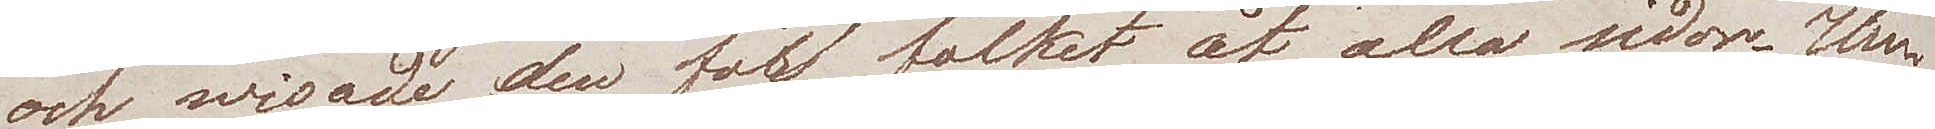och wisade den för folket åt alla sidor. Un¬
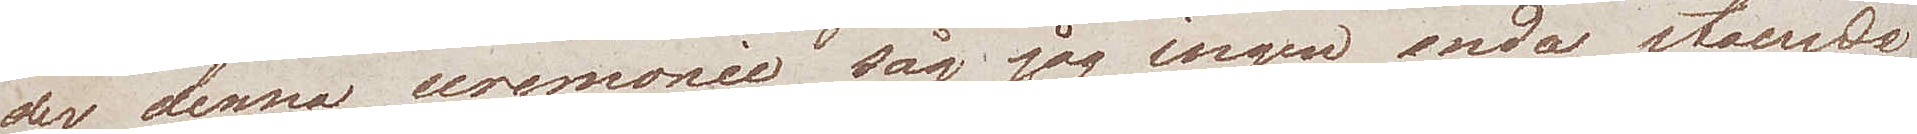der denna ceremonie såg jag ingen enda stående
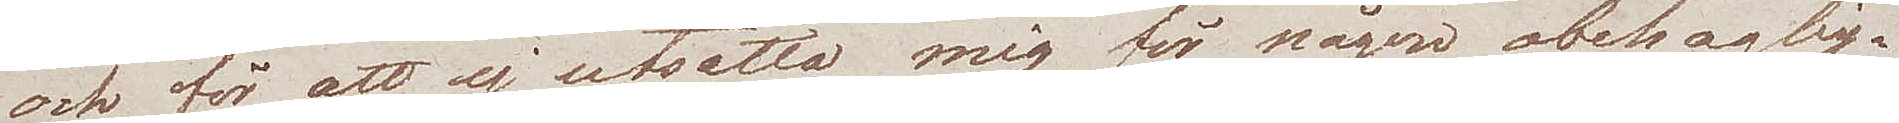och för att ej utsätta mig för någon obehaglig¬
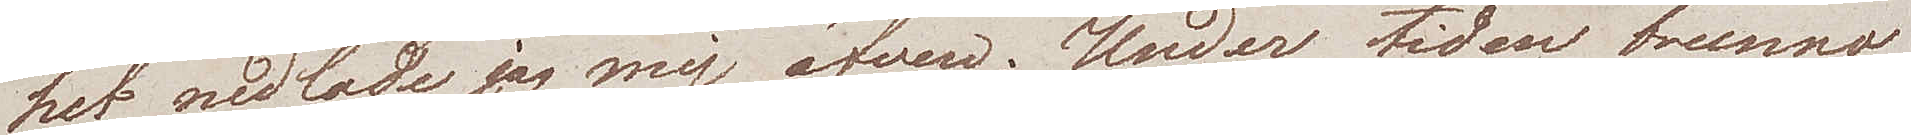het nedlade jag mig äfven. Under tiden brunno
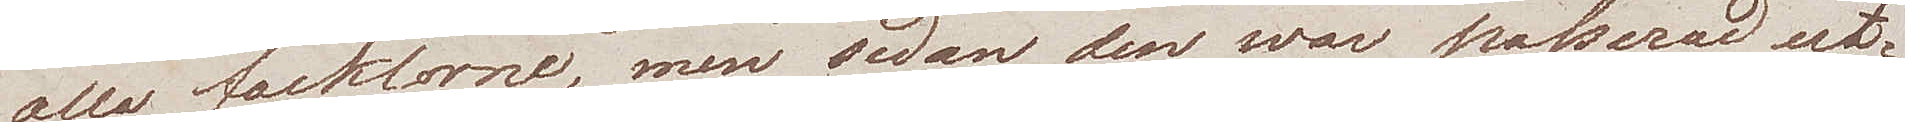alla facklorne, men sedan den war passerad ut¬
